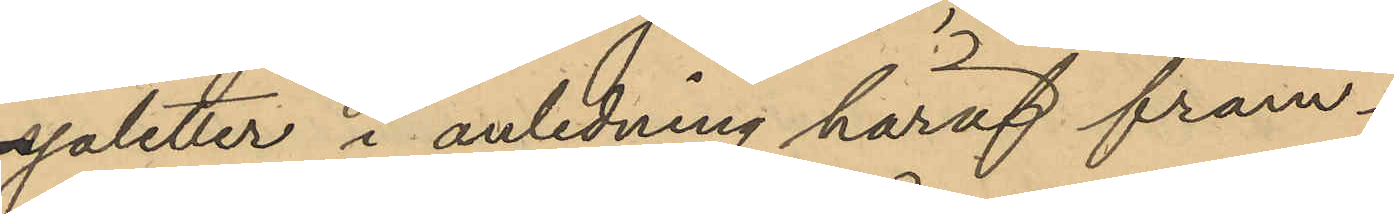sjaletter, i anledning häraf fram¬
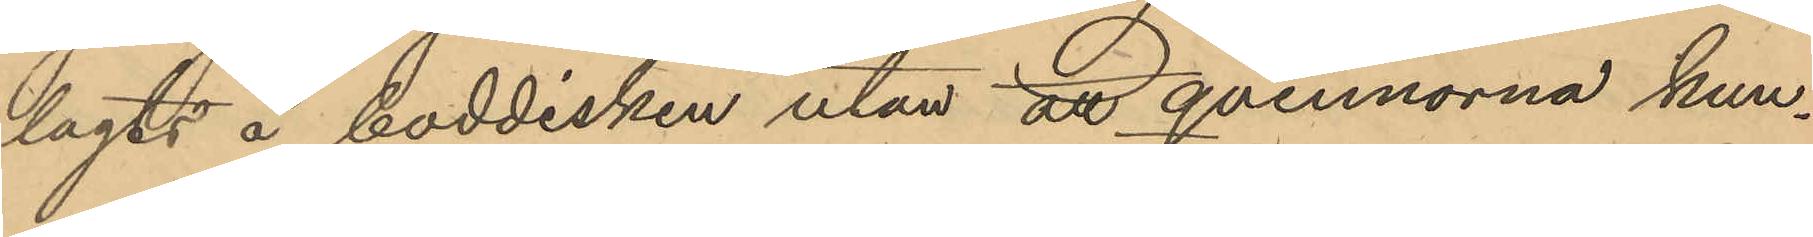lagts å boddisken utan att qvinnorna kun¬
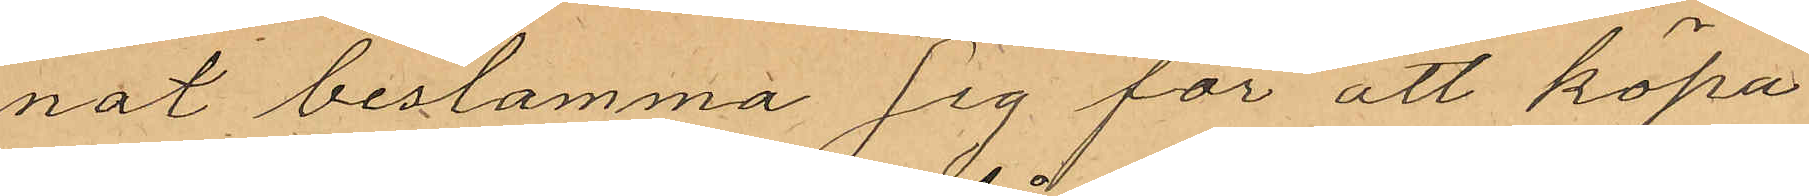nat bestämma sig för att köpa
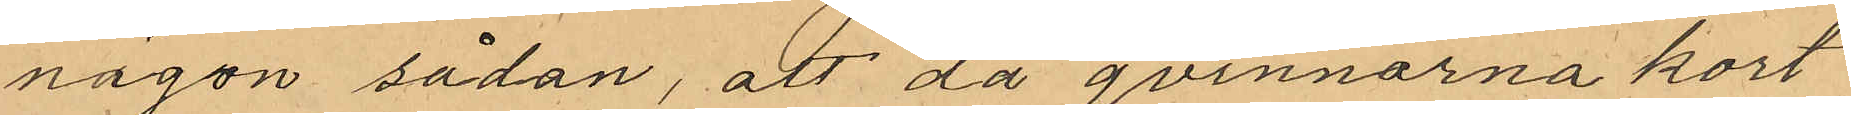någon sådan, att då qvinnorna kort
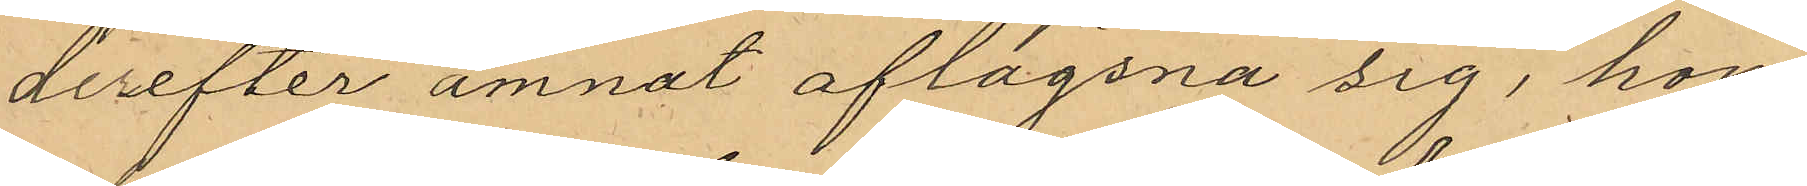derefter amnat aflägsna sig, hon
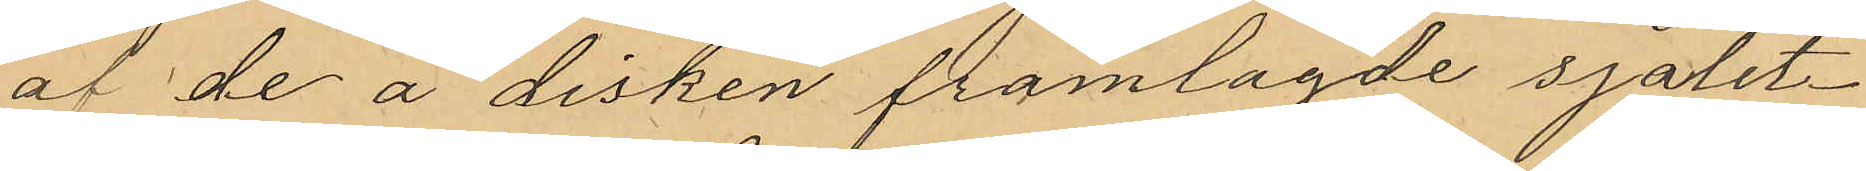af de å disken framlagde sjalet¬
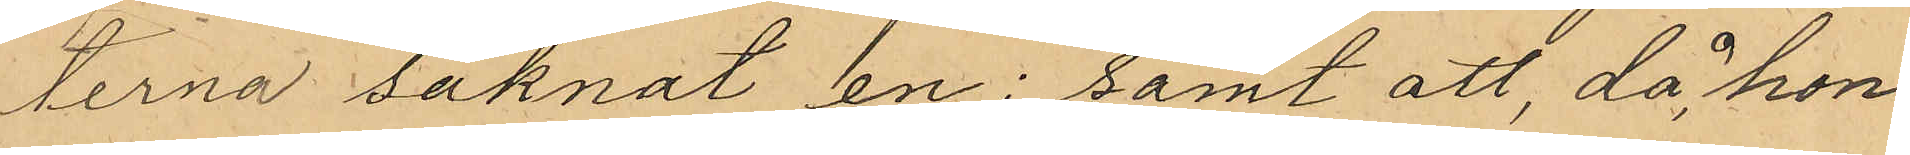terna saknat en; samt att, då hon
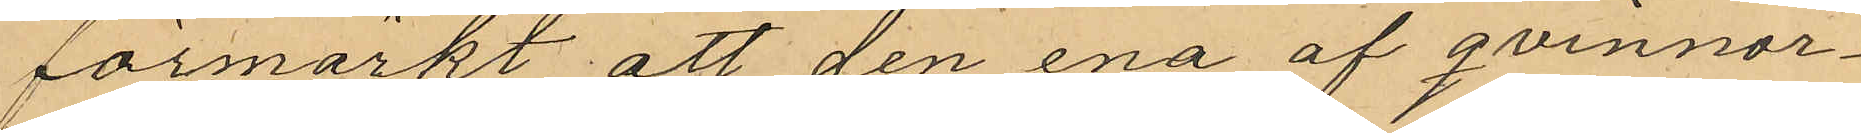förmärkt att den ena af qvinnor¬
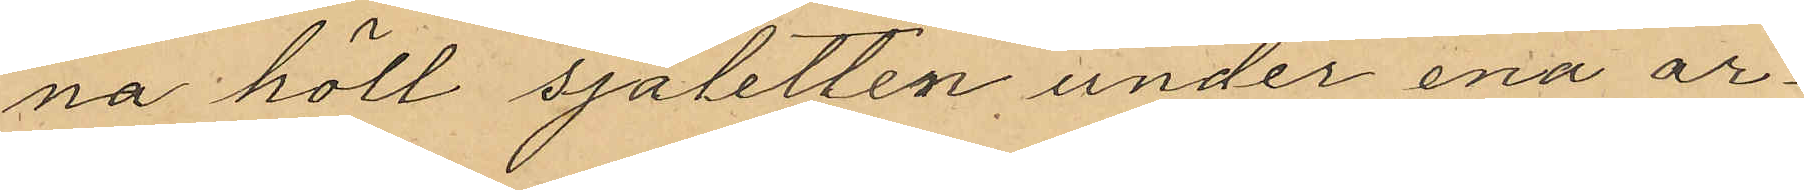na höll sjaletten under ena ar¬
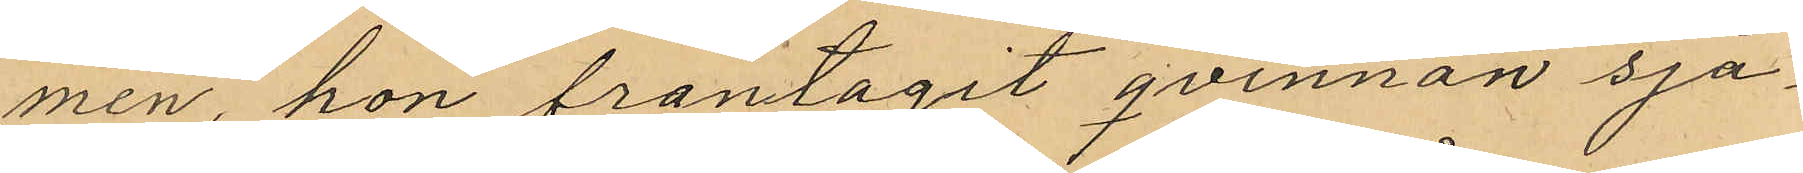men, hon fråntagit qvinnan sja¬
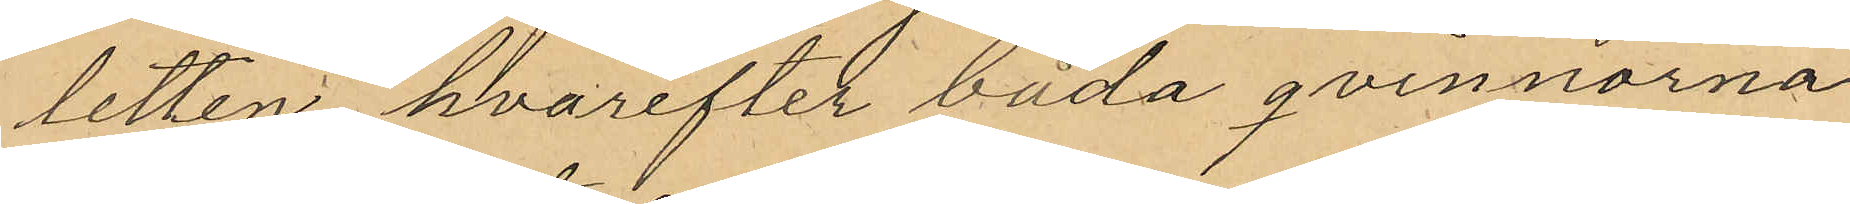letten hvarefter båda qvinnorna
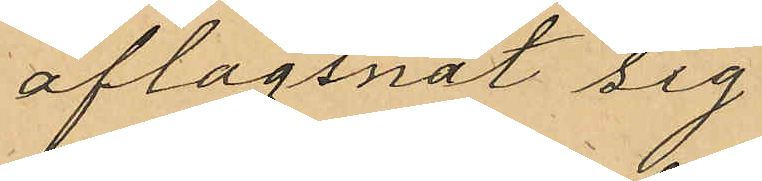aflägsnat sig
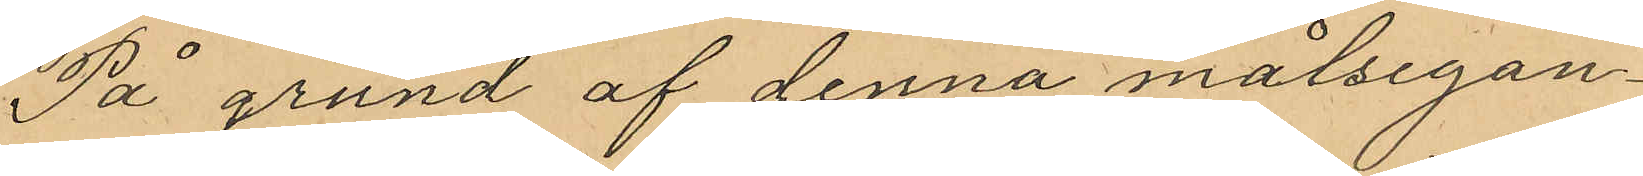På grund af denna målsegan¬
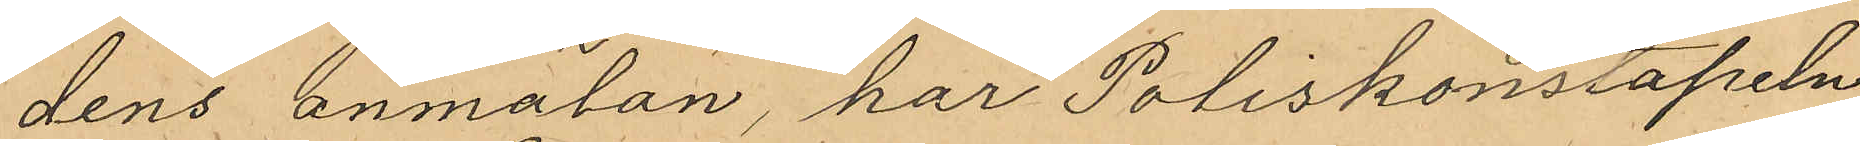dens anmälan, har Poliskonstapeln
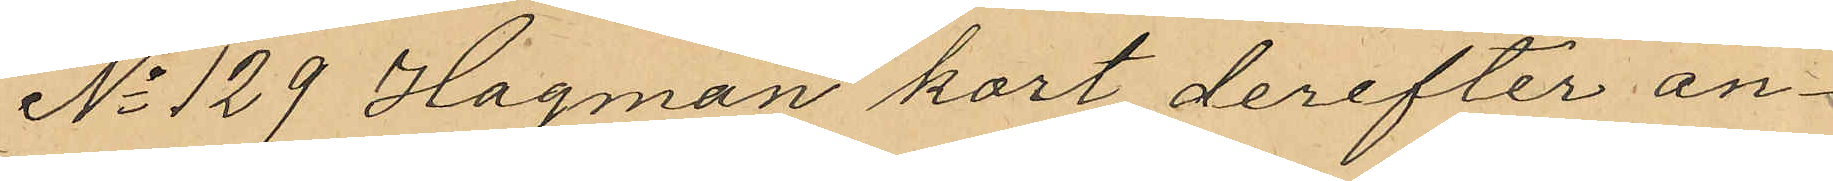No 129 Hagman kort derefter an¬
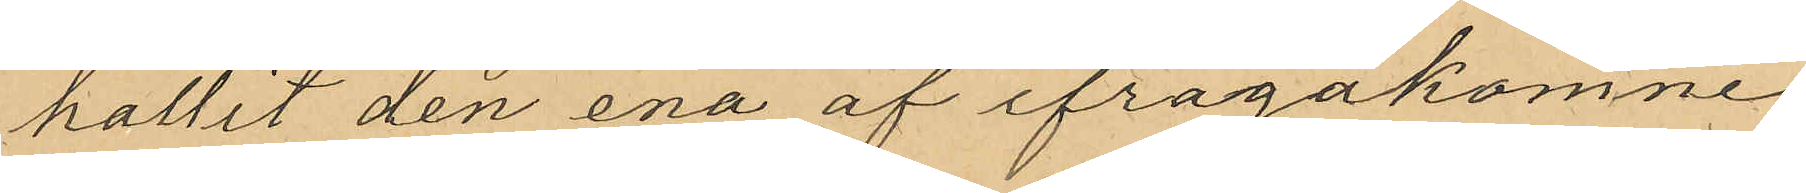hållit den ena af ifrågakomne
